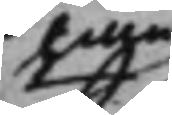han
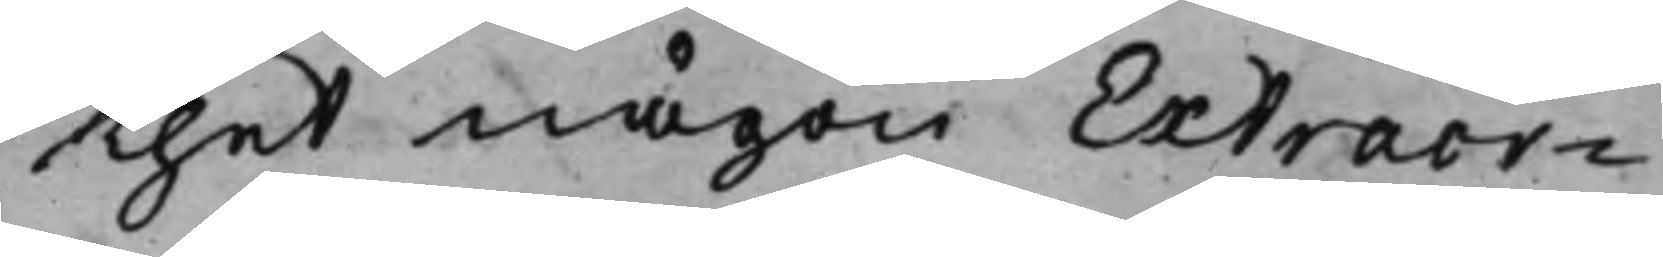thet någon Extraor¬
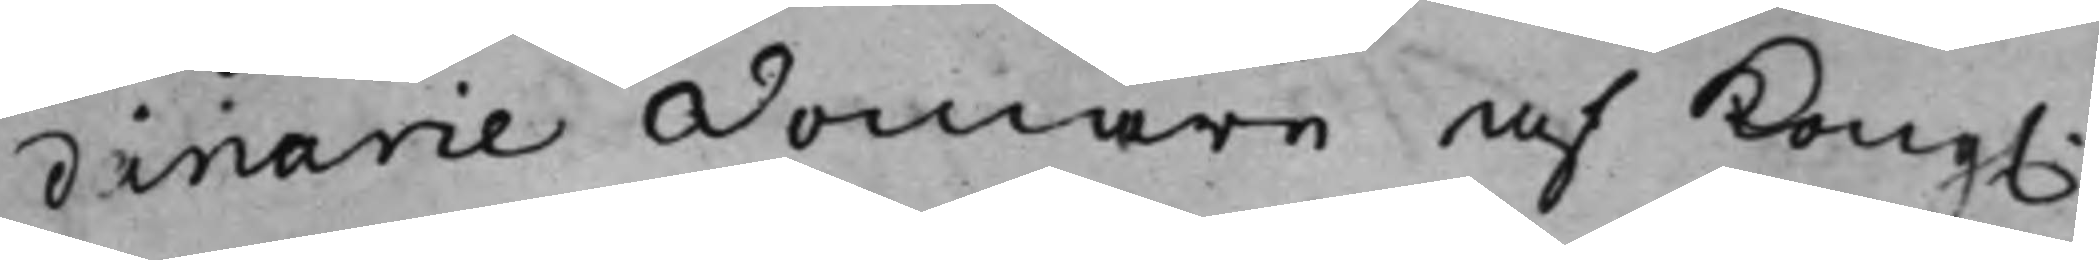dinarie Domare af Kong. 
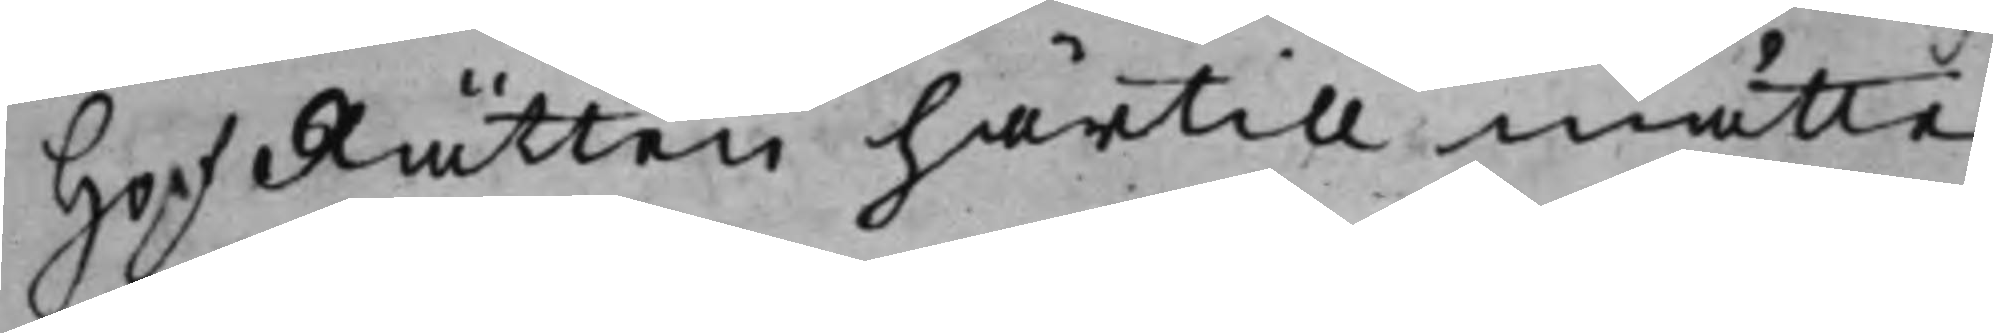HofRätten härtill måtte
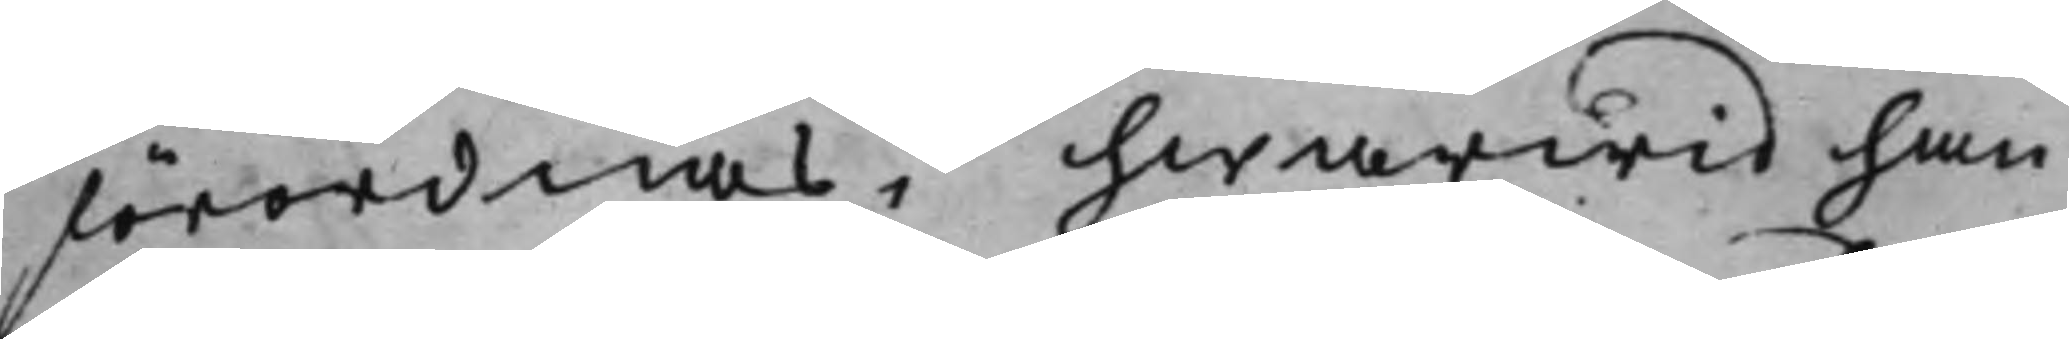förordnas, hwarwid han
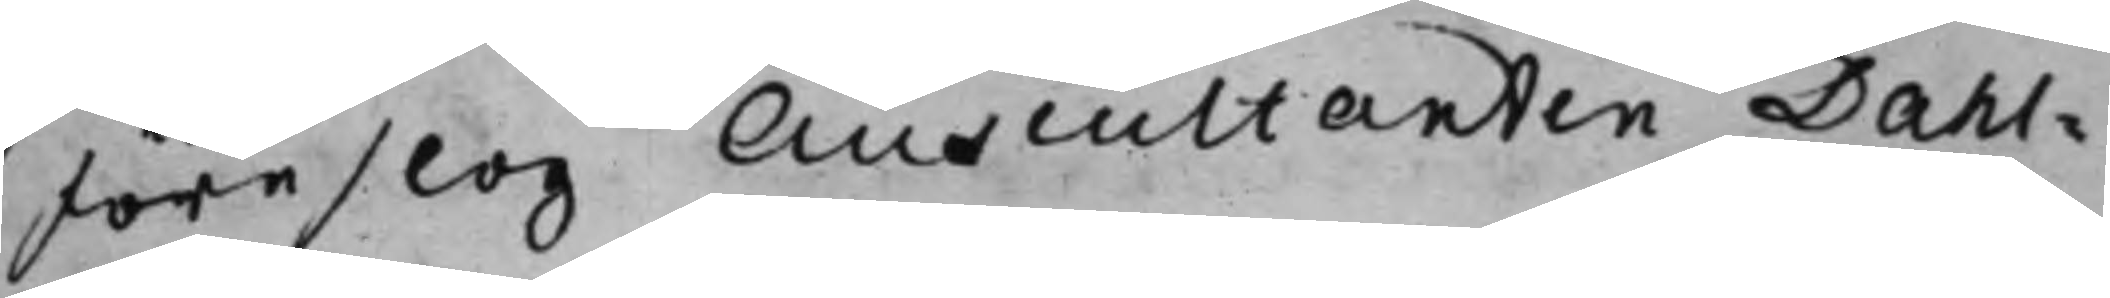föreslog Auscultanten Dahl¬
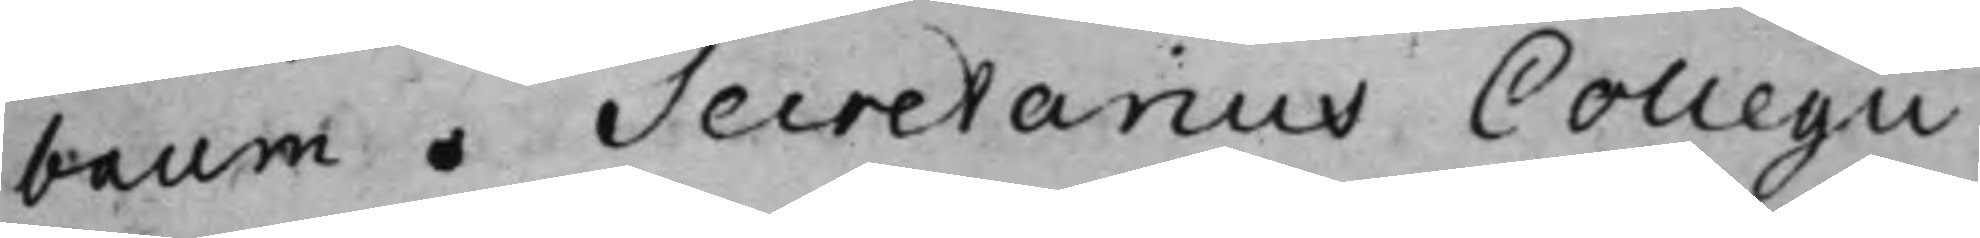baum. Secretarius Collegii
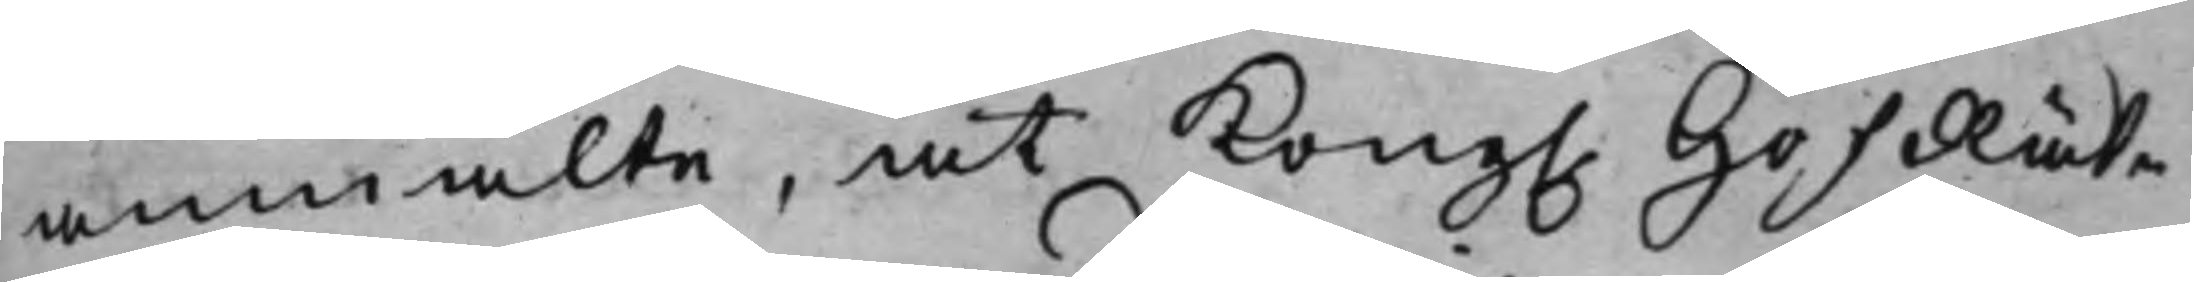anmälte, at Kong. HofRät¬ 
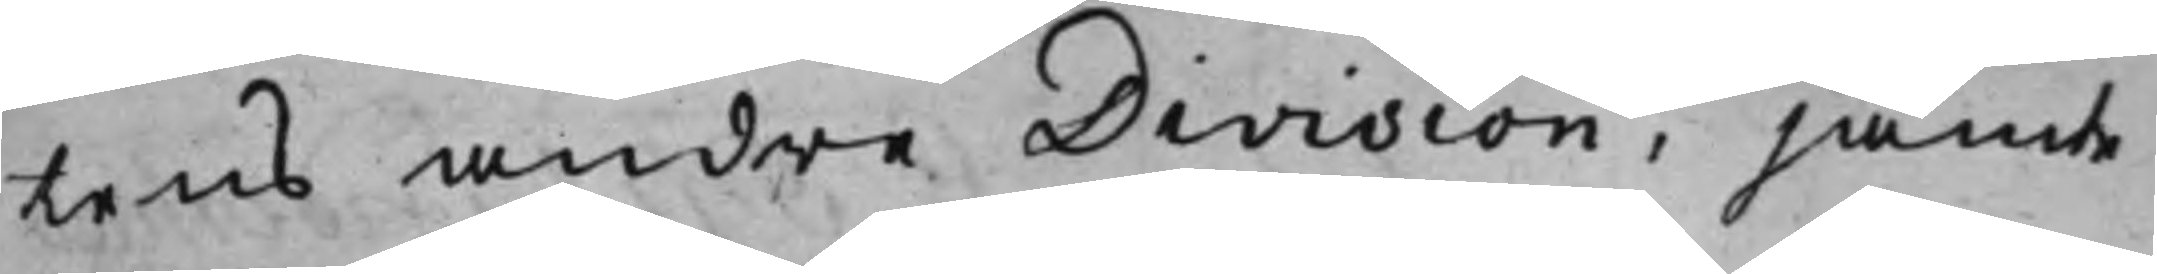tens andre Division, jämte
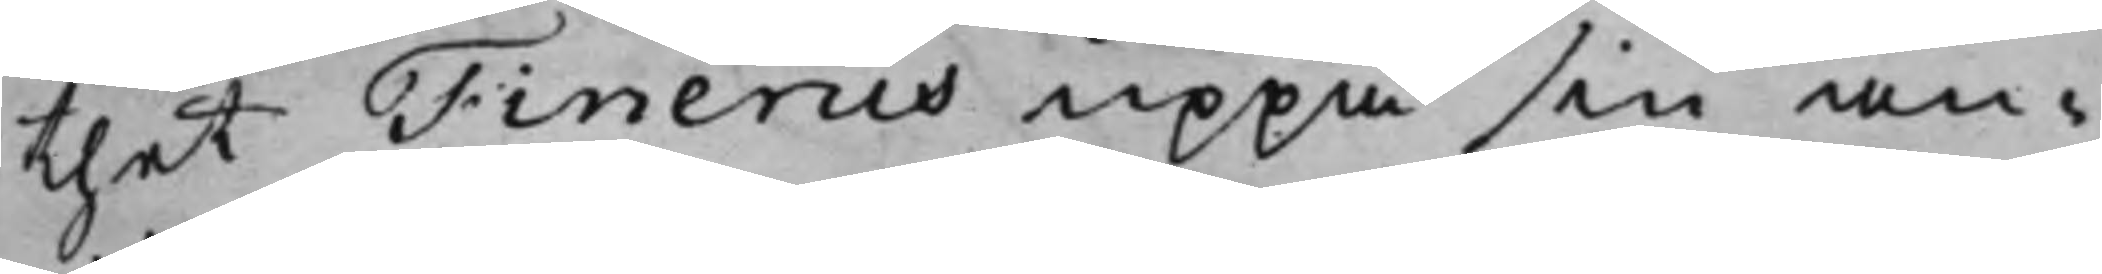thet Finerus uppå sin an¬
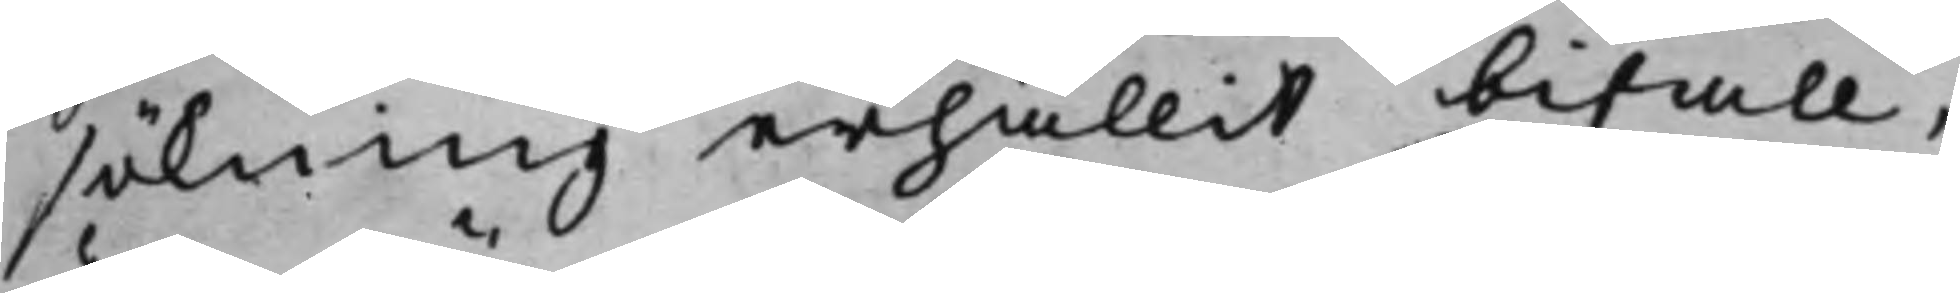sökning erhållit bifall,
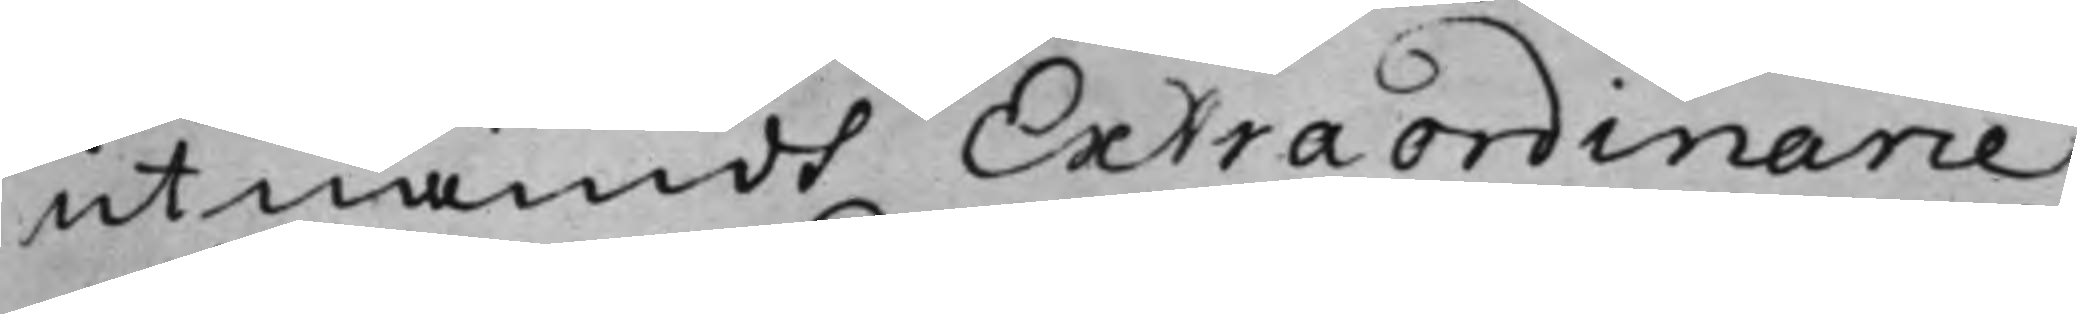utnämdt Extraordinarie
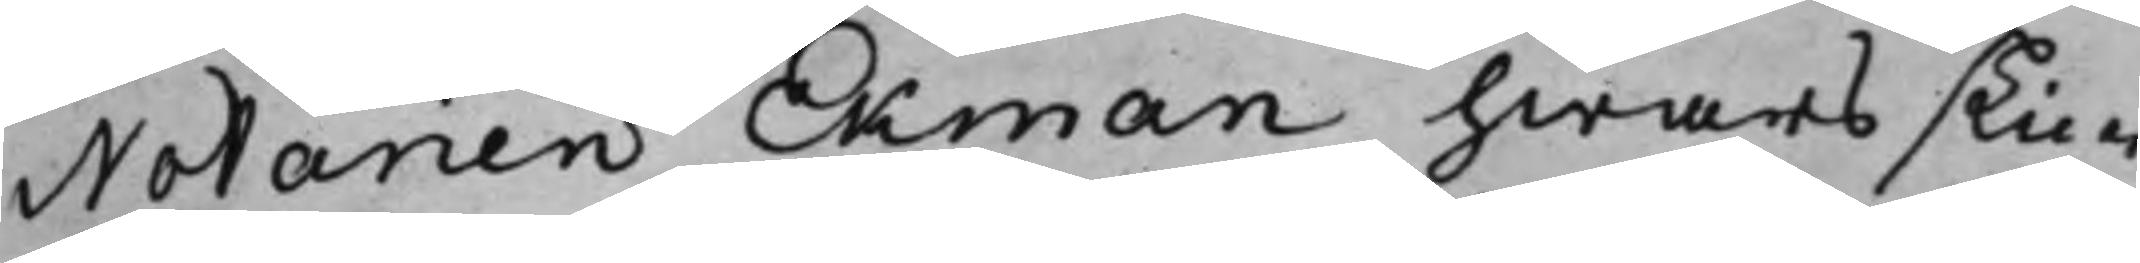Notarien Ekman hwars skic¬
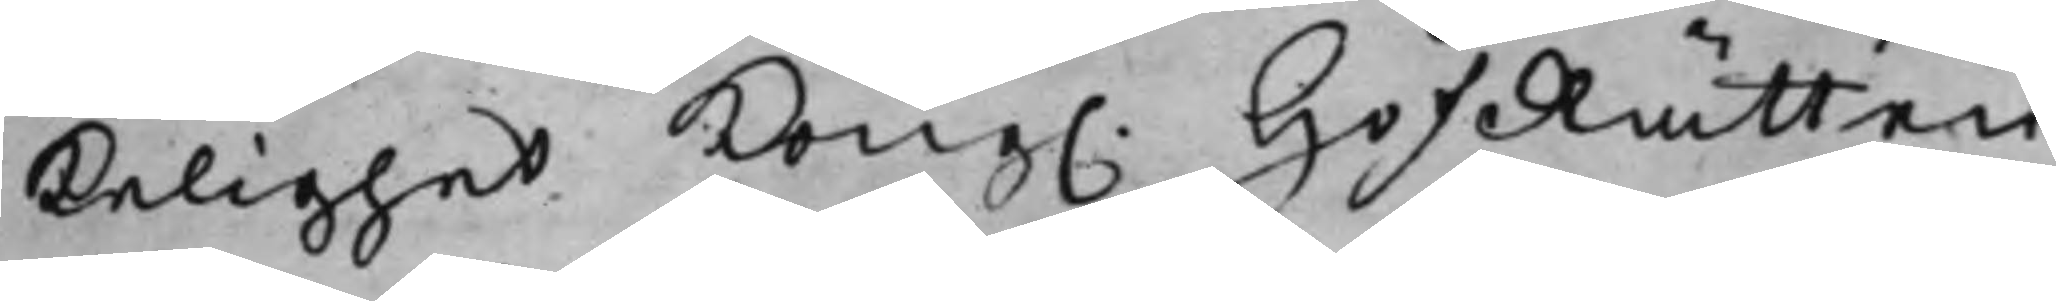kelighet Kong. HofRätten 
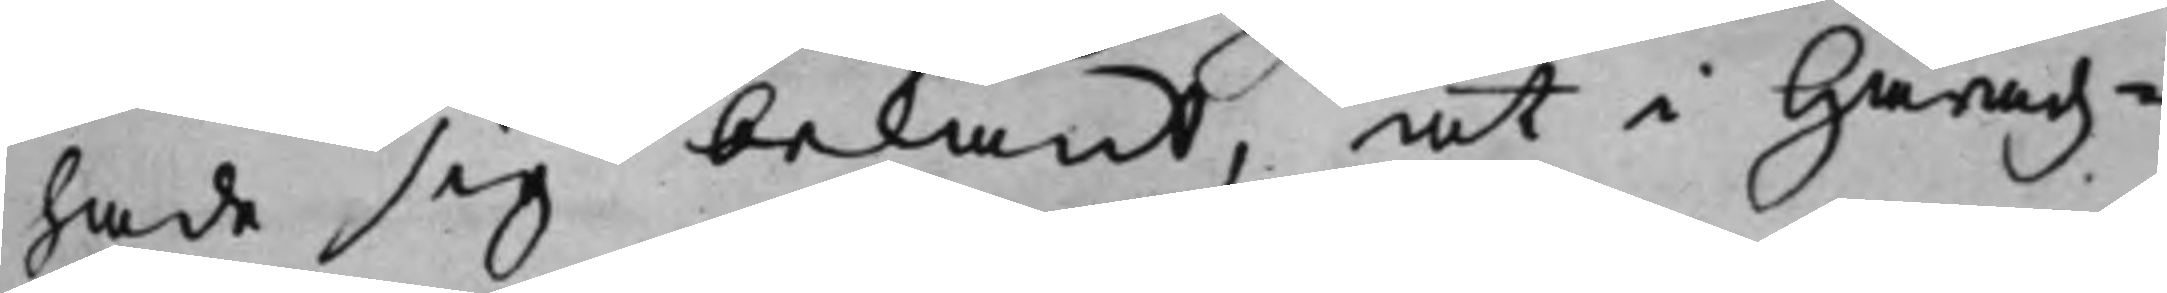hade sig bekant, at i Häradz¬
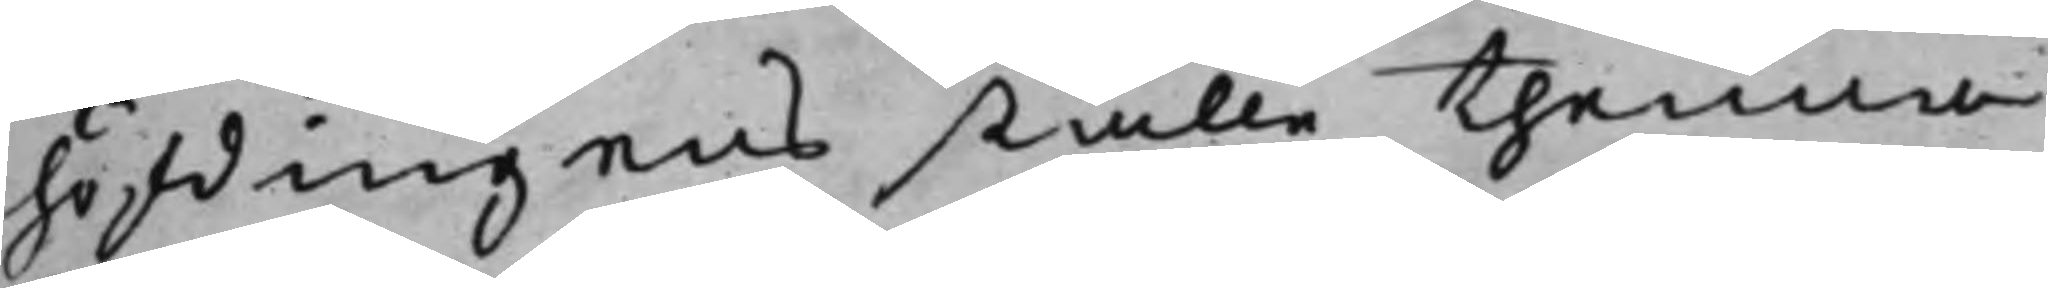höfdingens ställe thenna
